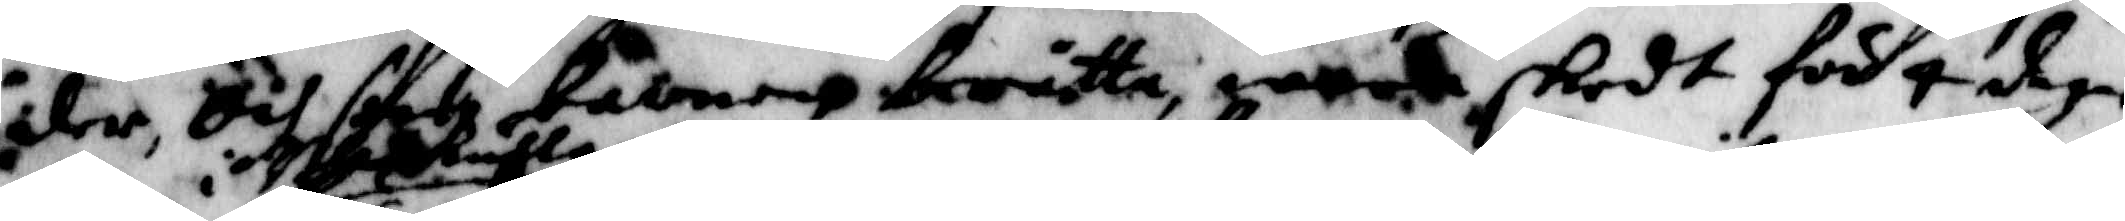der och sade kalmen berätta wart skedt för 4 dagar
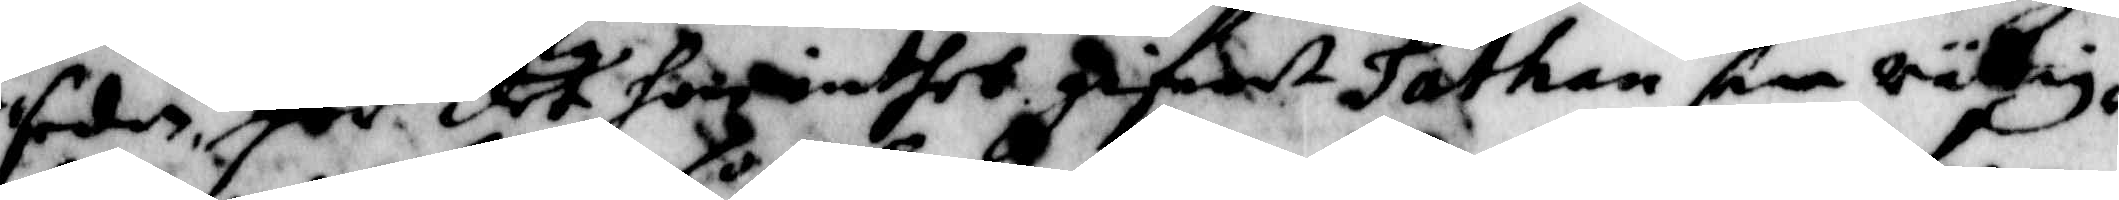sedan, för det hon inthet gifwet Sathan sin rättig¬
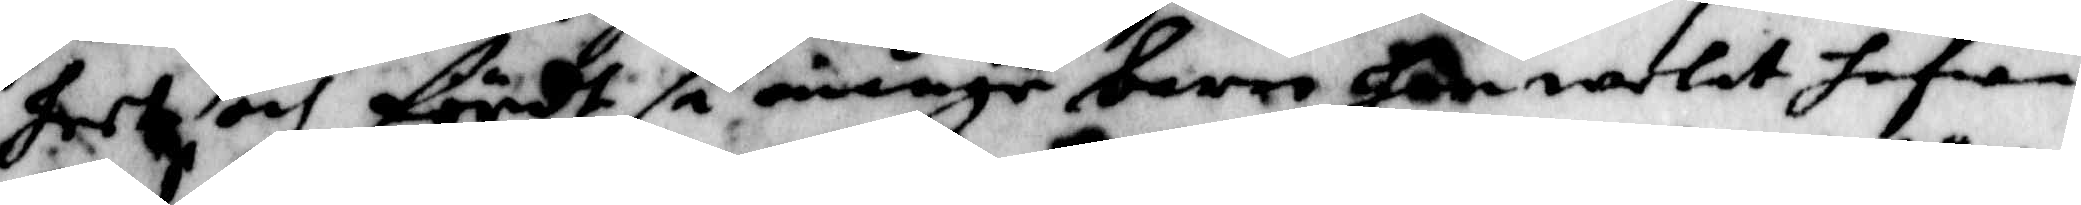heet och fördt så månge barn han welat hafwa.
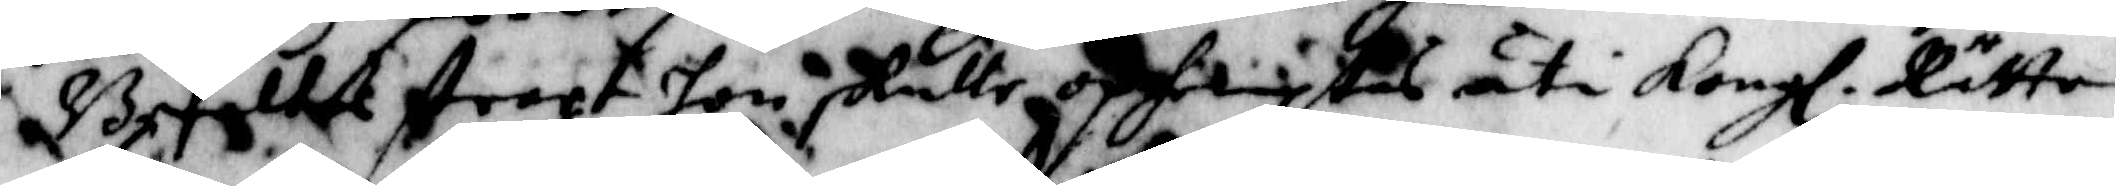Befaltes straxt hon skulle ophemtas uti Kongl. Rätten
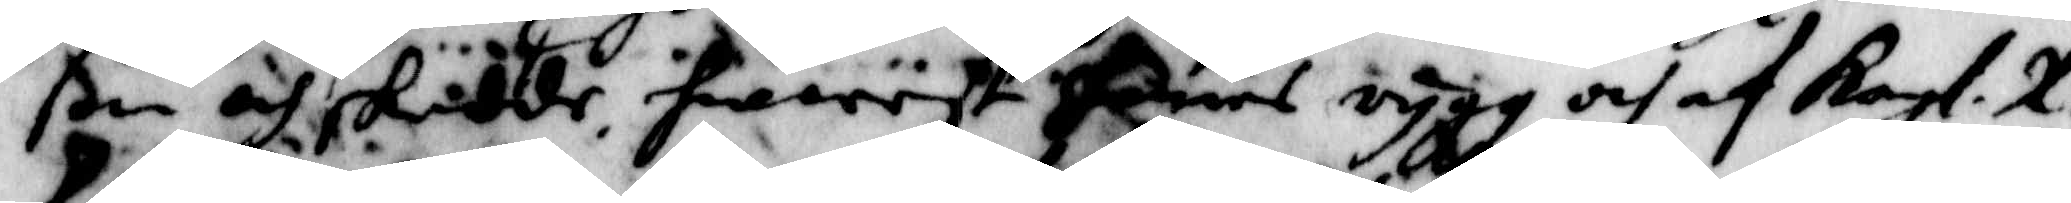ßom och skedde hwarest hennes rygg och af Kongl. R. 
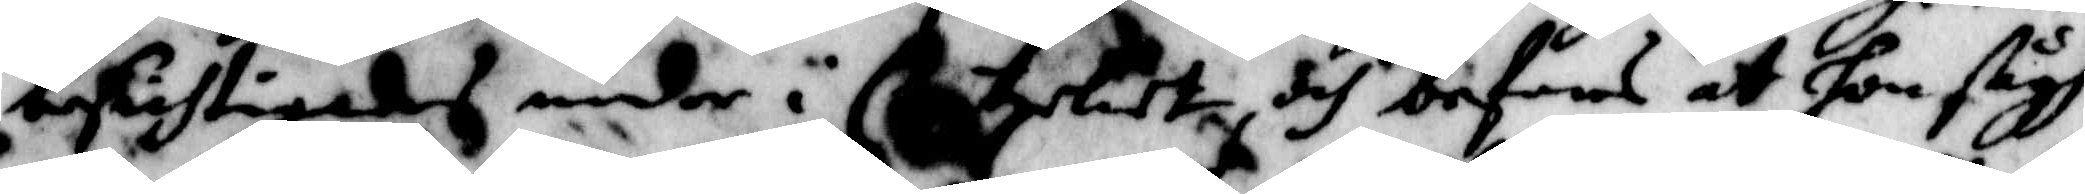besichtigades neder i Cantzliet och befans at hon sågh
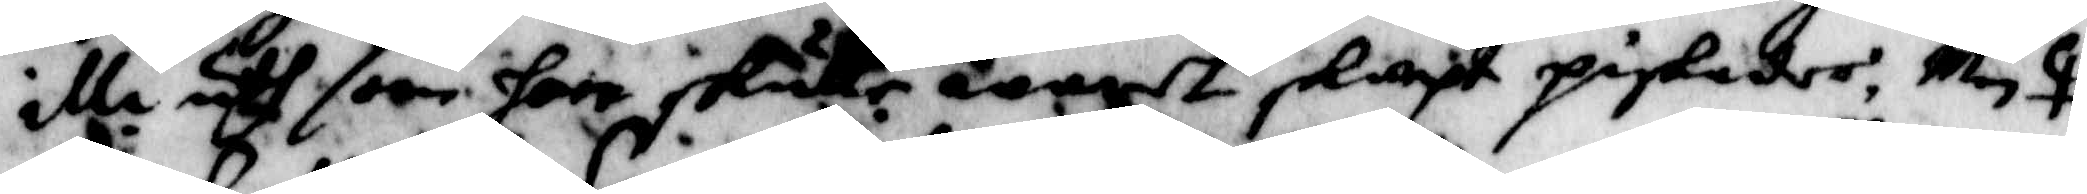illa uth som hon skulle waret skarpt piskades, Men
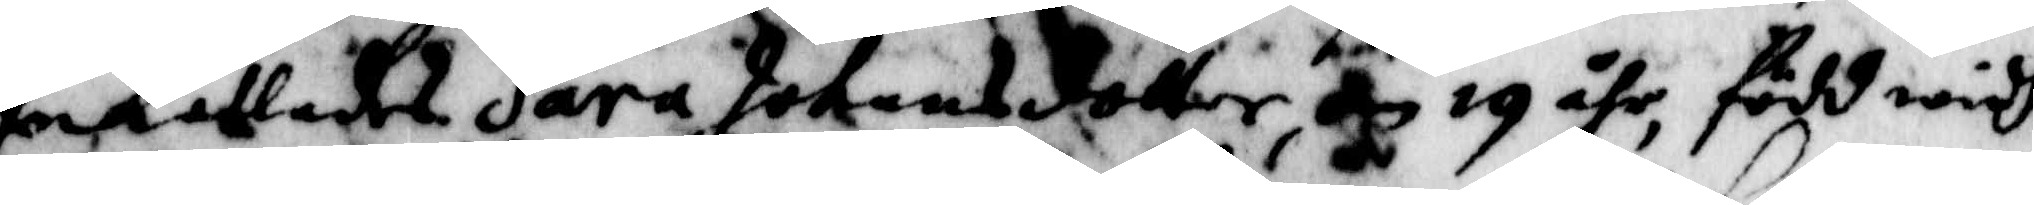Inkallades Sara Johansdotter om 19 åhr, född widh
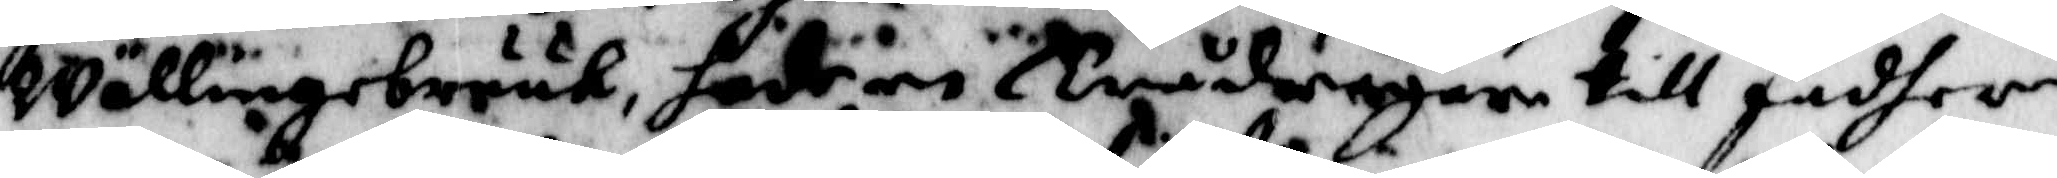Wällingebruuk, hadr en Trådragare till fadher
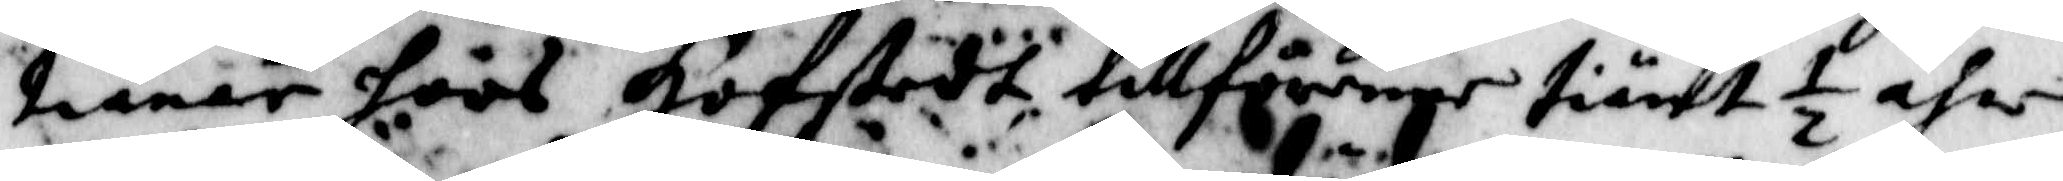tiänar hoos Hofstadt tillföringe tiänt ½ åhr
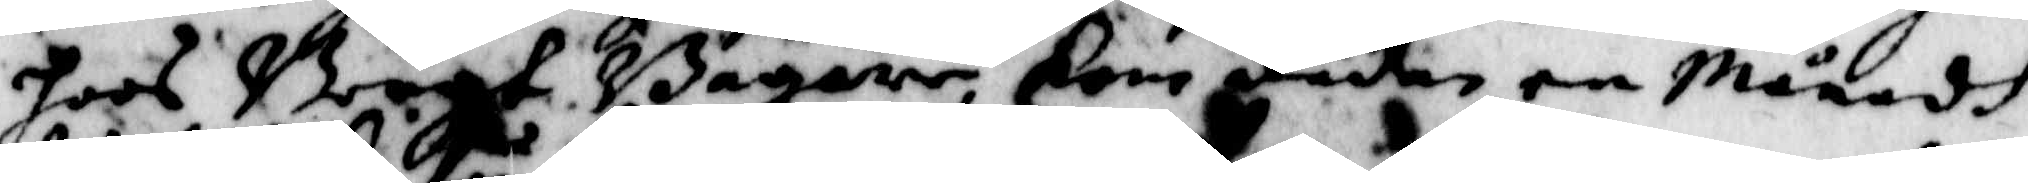hoos Bengt Bagare, Kom dädan en Månadh
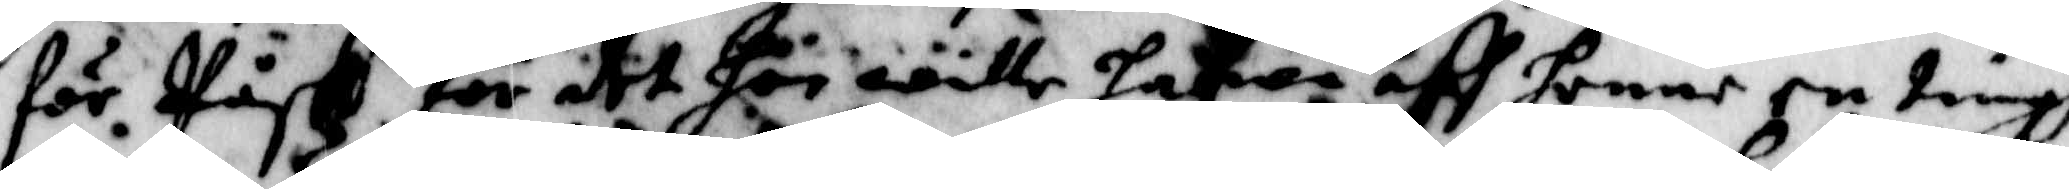för Påsk för det hon wille hafwa aff henne en tingh
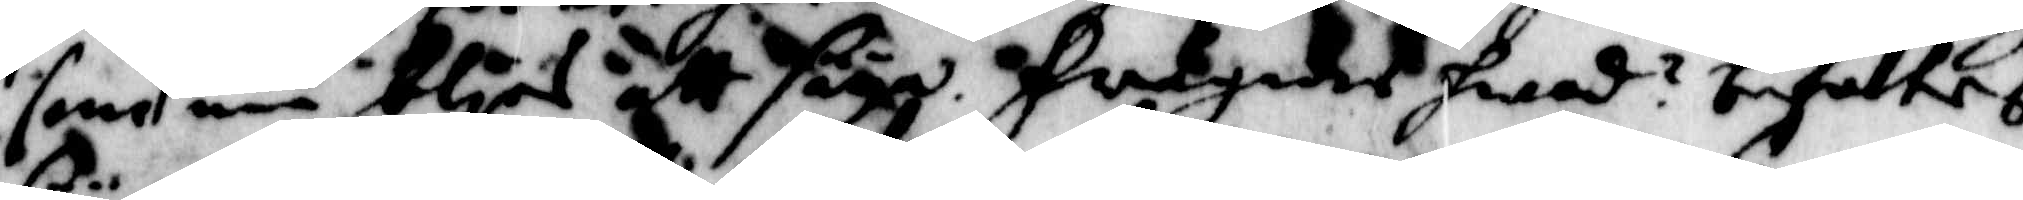som nu blirs att säya. Frågades hwad? befalltes
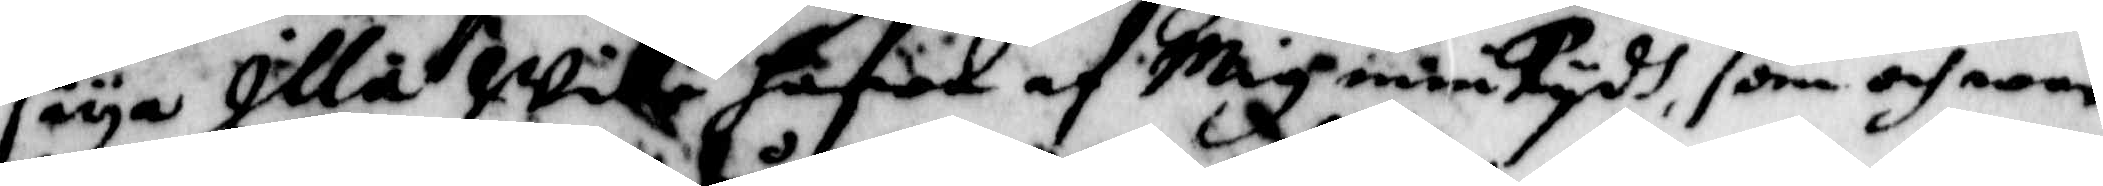säya Illa Wille hafwa af Mig min tydh, som och war
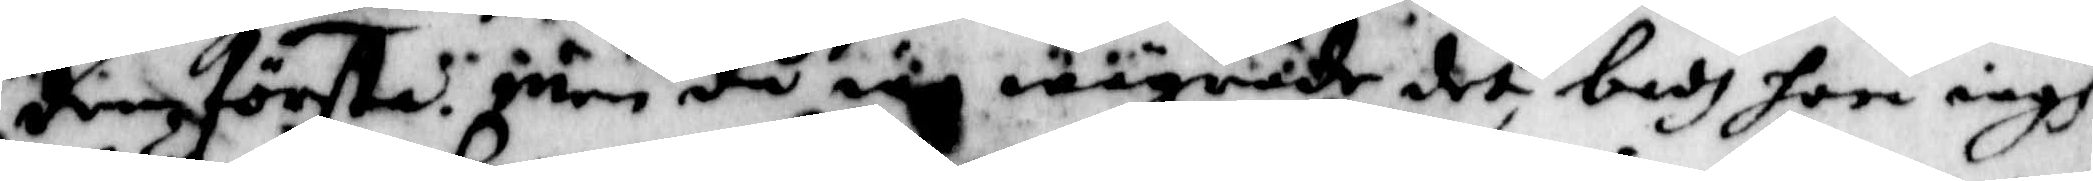den första. Men då iag iag wägrade det, badh hon iagh
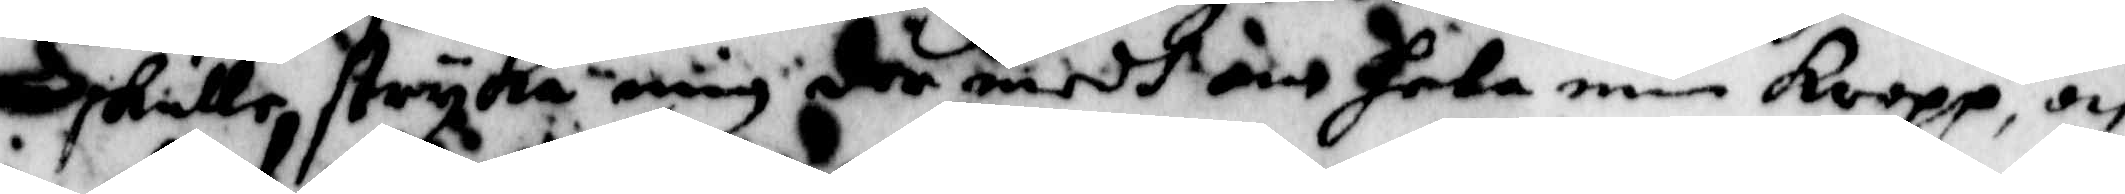skulle stryka mig der medh om hela min Kropp, och
